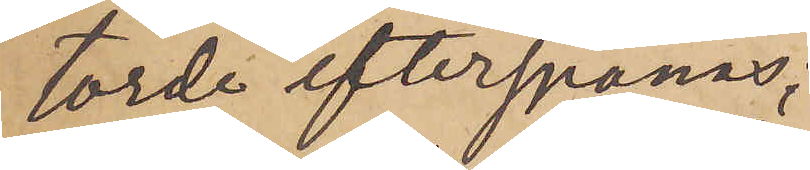torde efterspanas;
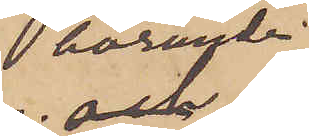härunder
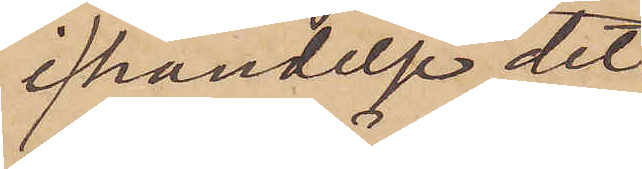i händelse det¬
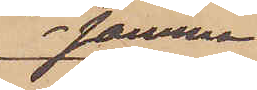samma
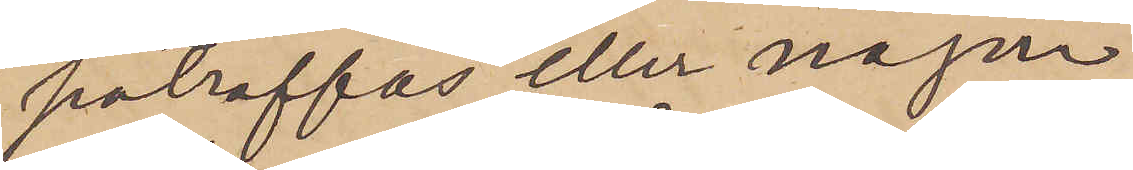påträffas eller någon
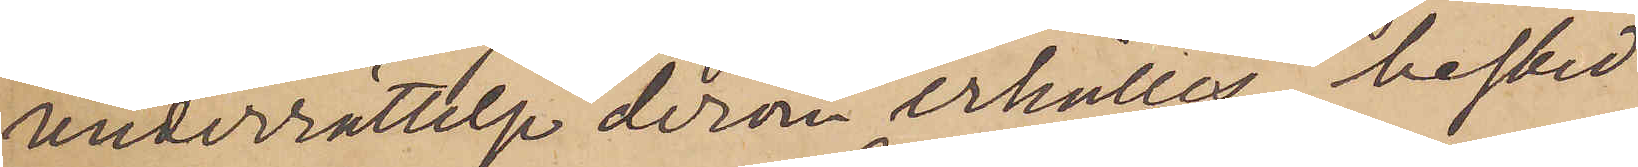underrättelse derom erhålles, besked
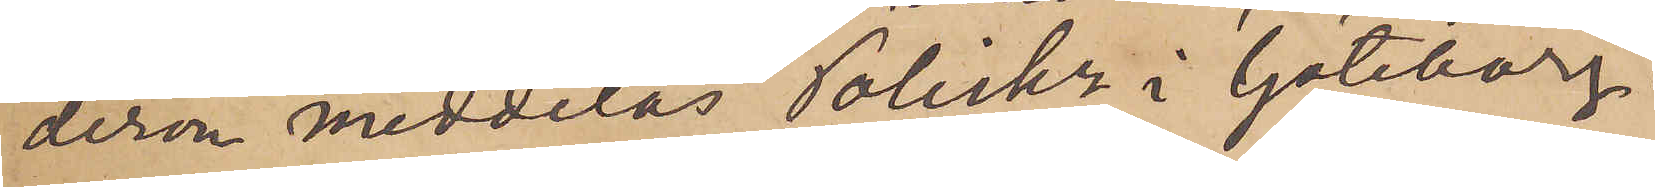derom meddelas Poliskn i Göteborg
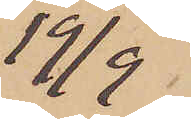19/9
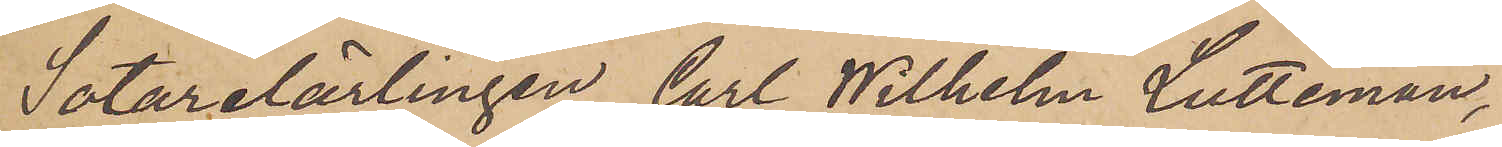Sotarelärlingen Carl Wilhelm Lutteman,
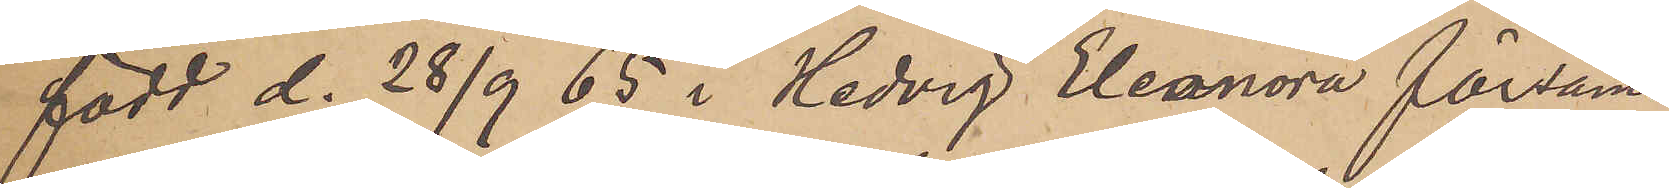född d. 28/9 65 i Hedvig Eleonora försam¬
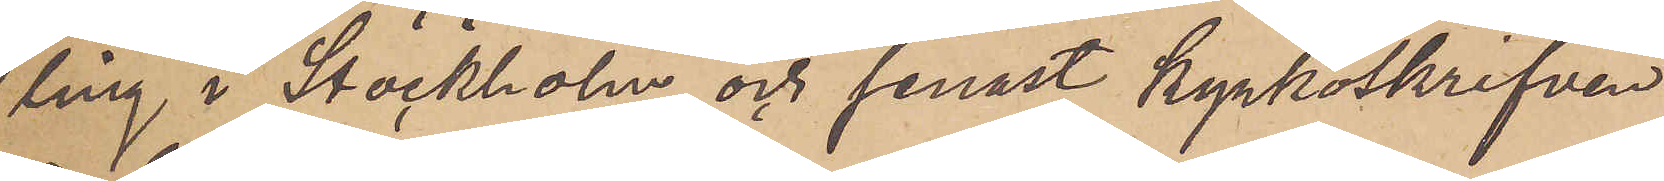ling i Stockholm och senast kyrkoskrifven
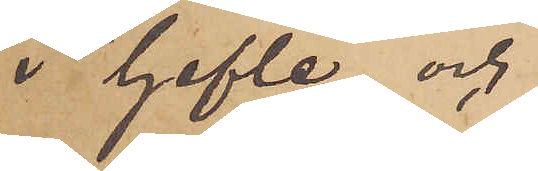i Gefle och
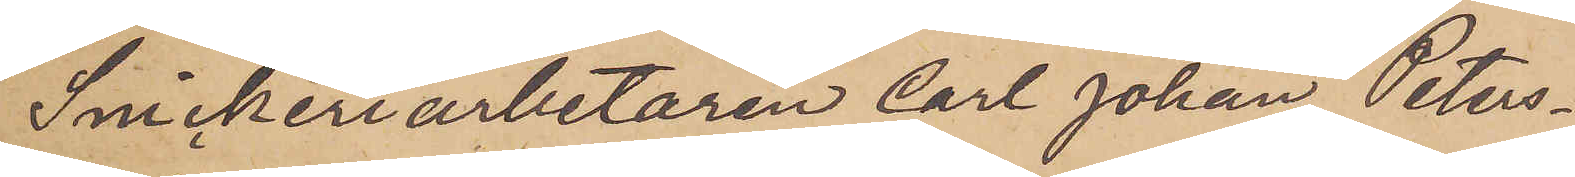Snickeriarbetaren Carl Johan Peters¬
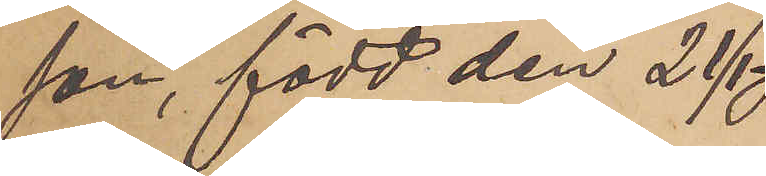son, född den 21/1
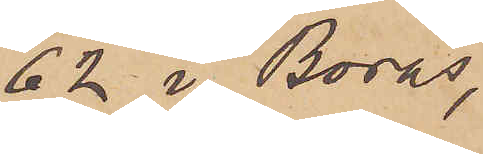62 i Borås,
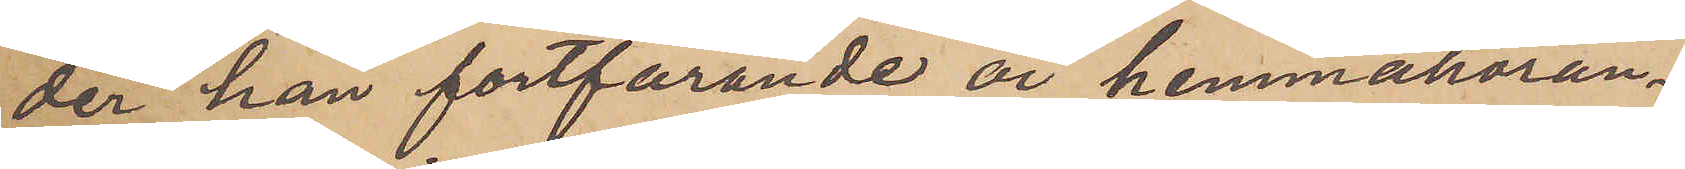der han fortfarande är hemmahöran¬
